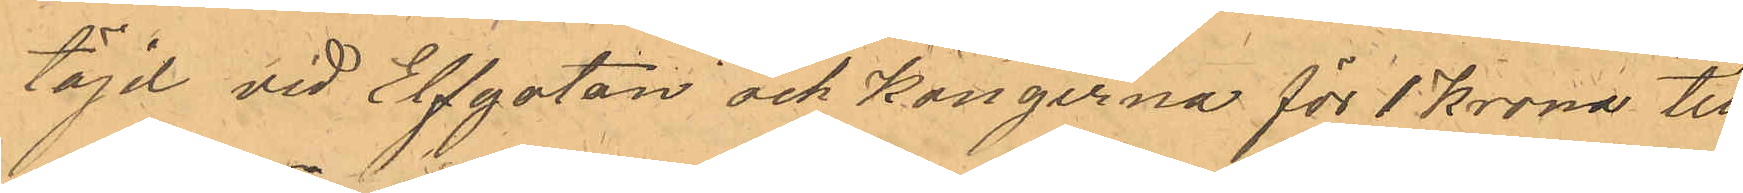töjd vid Elfgatan och kängerna för 1 Krona till
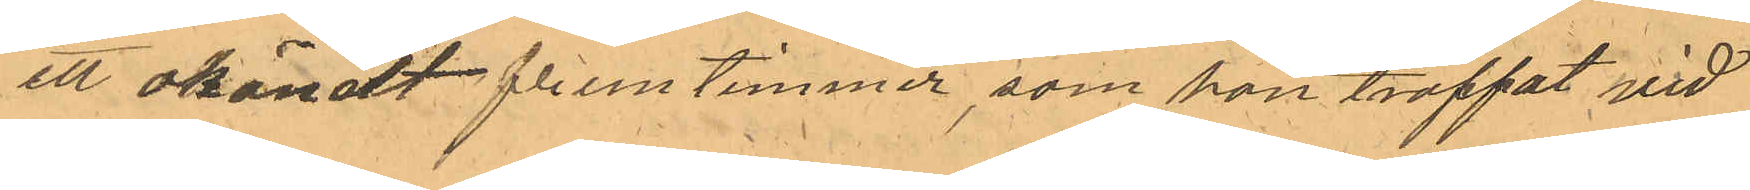ett okändt fruntimmer, som han träffat vid
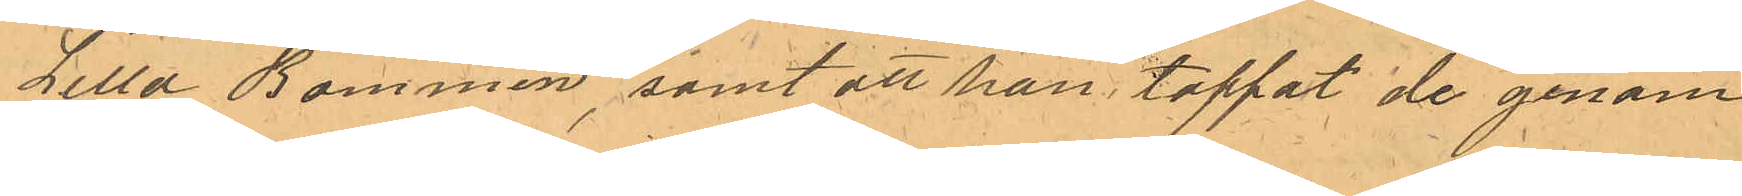Lilla Bommen, samt att han tappat de genom
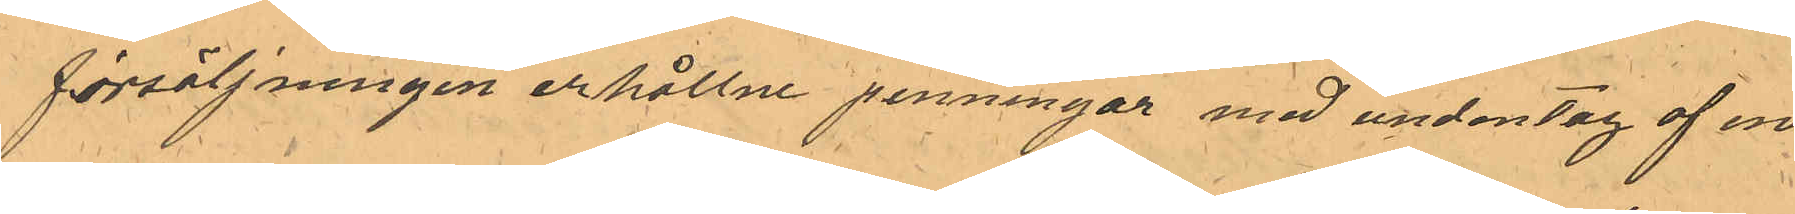försäljningen erhållne penninngar med undantag af en
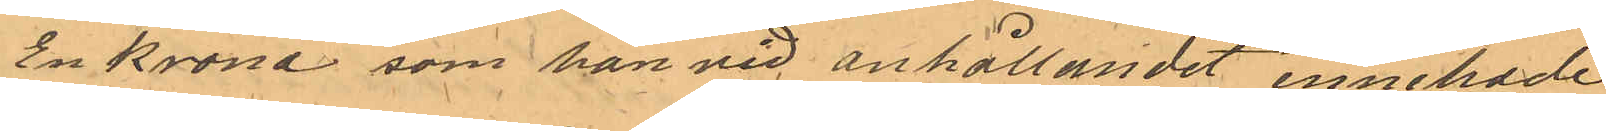En Krona som han vid anhållandet innehade.
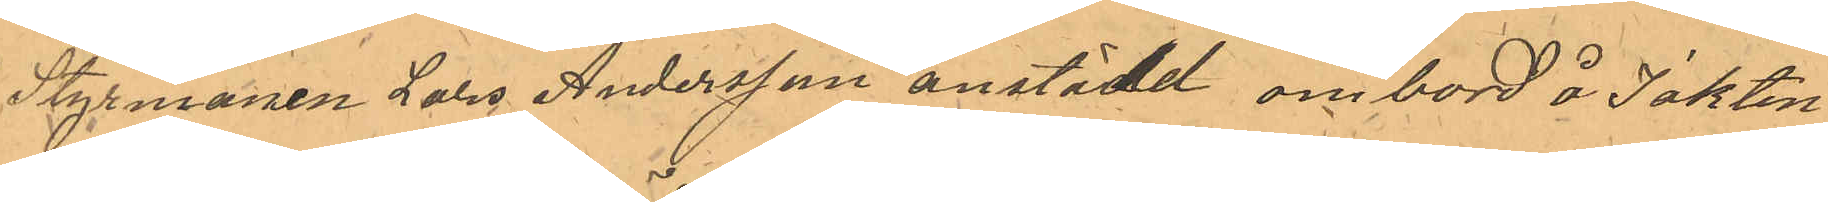Styrmannen Lars Andersson anstäld ombord å Jakten
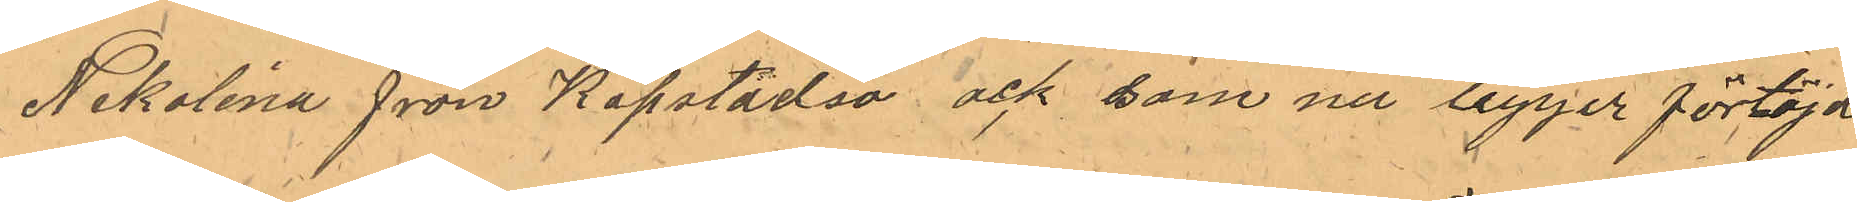Nikolina från Köpstadsö ock som ligger förtöjd
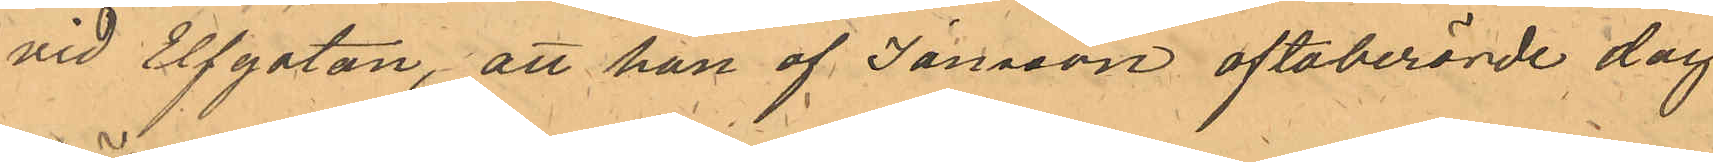vid Elfgatan, att han af Jansson oftaberörde dag
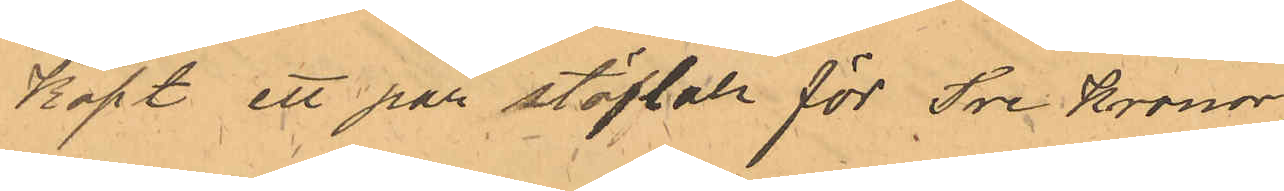Köpt ett par stöflar för Tre Kronor.
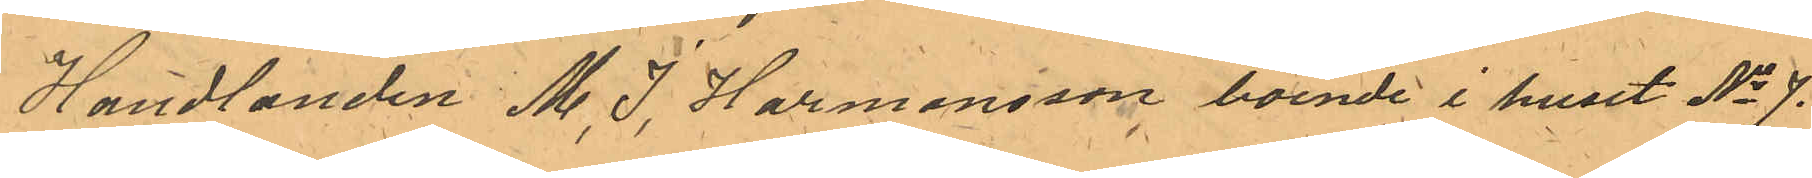Handlanden M. J. Harmansson boende i huset No 7.
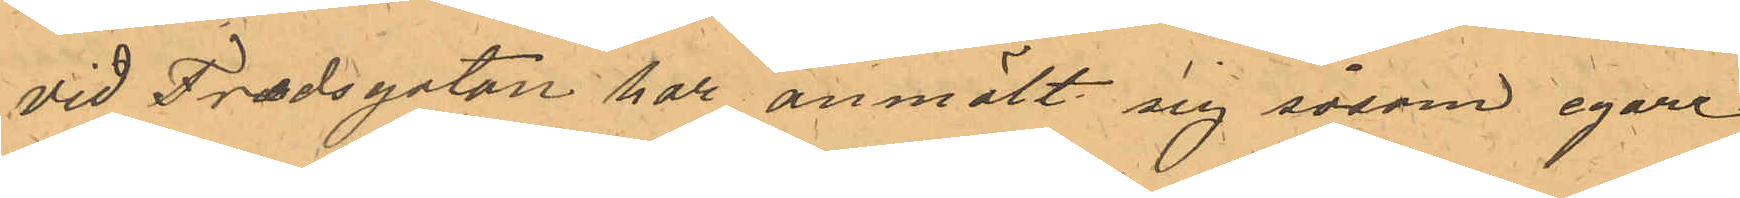vid Fredsgatan har anmält sig såsom egare
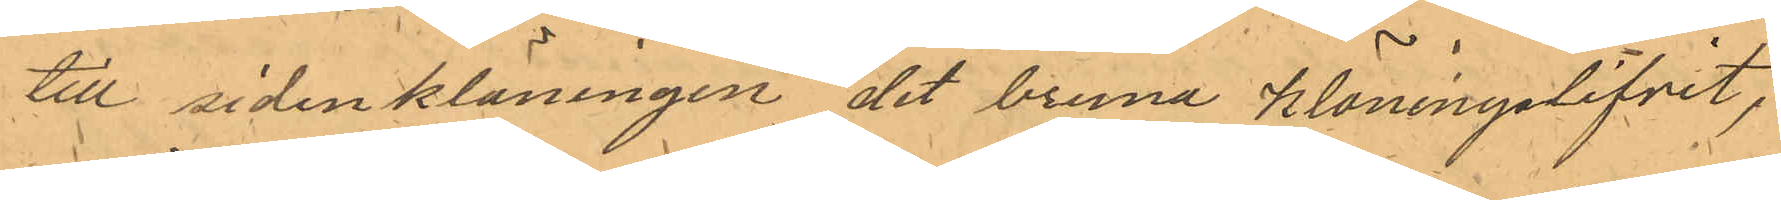till sidenkläningen det bruna kläningslifvet,
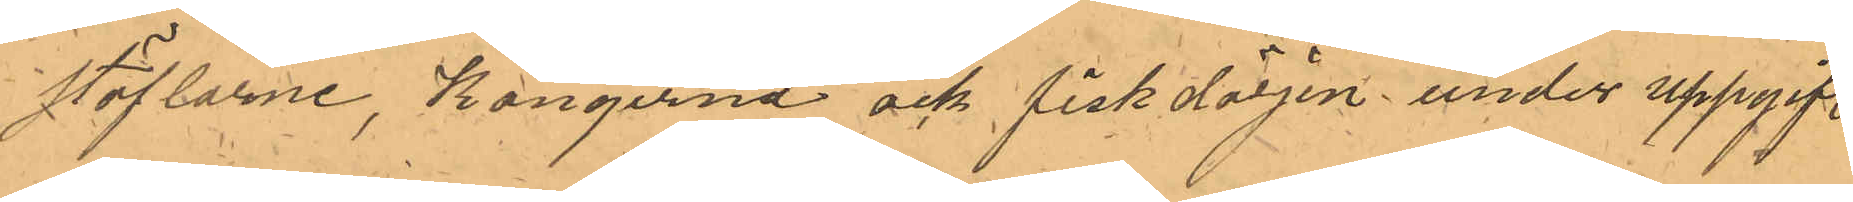stöflarne, Kängerna ock fiskdörjen under uppgift
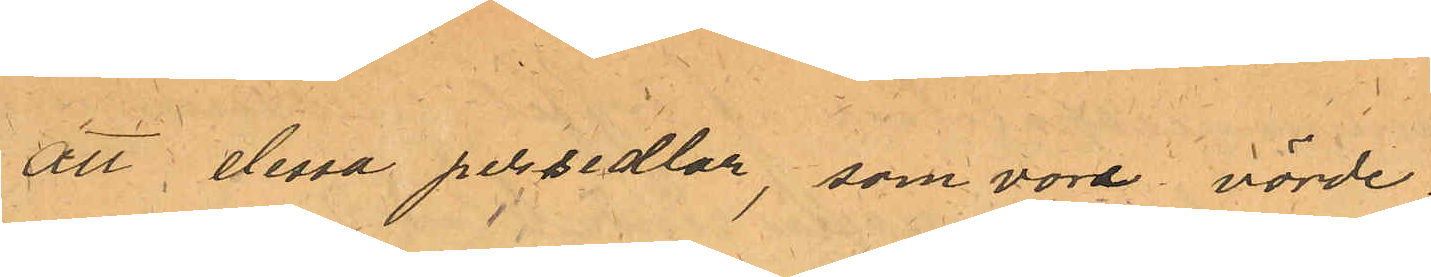att dessa persedlar, som vore värde
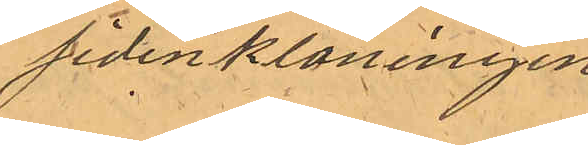Sidenkläningen
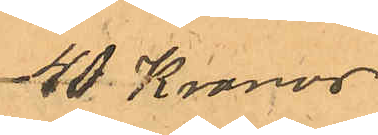40 Kronor
